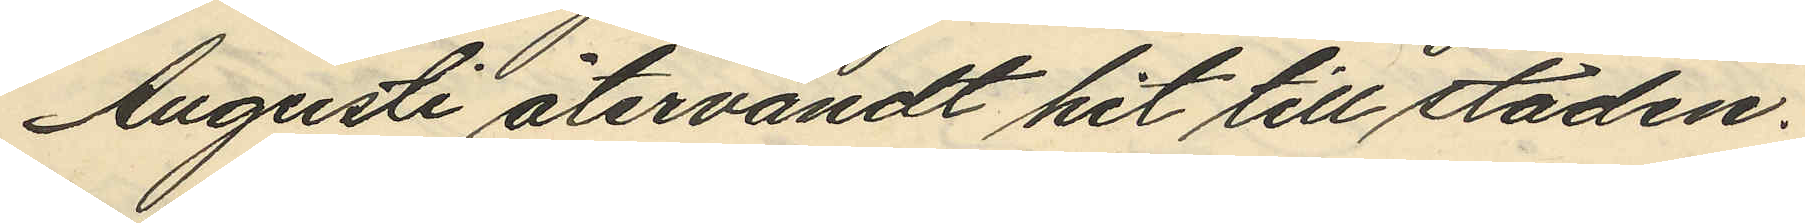Augusti återvändt hit till staden.
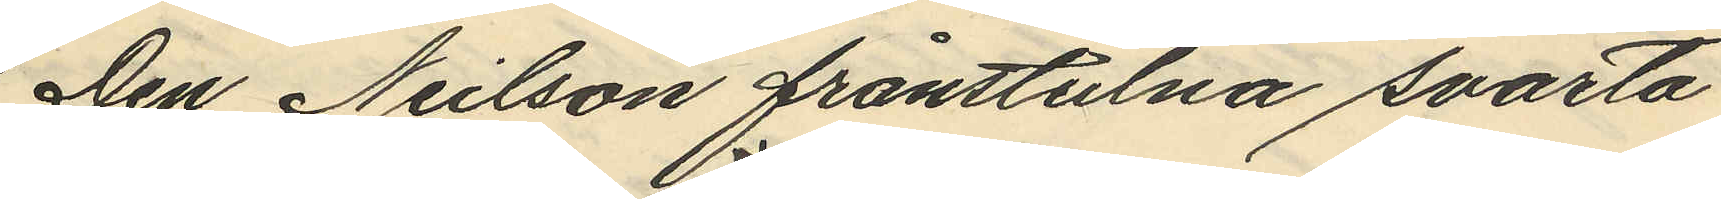Den Neilson frånstulna svarta
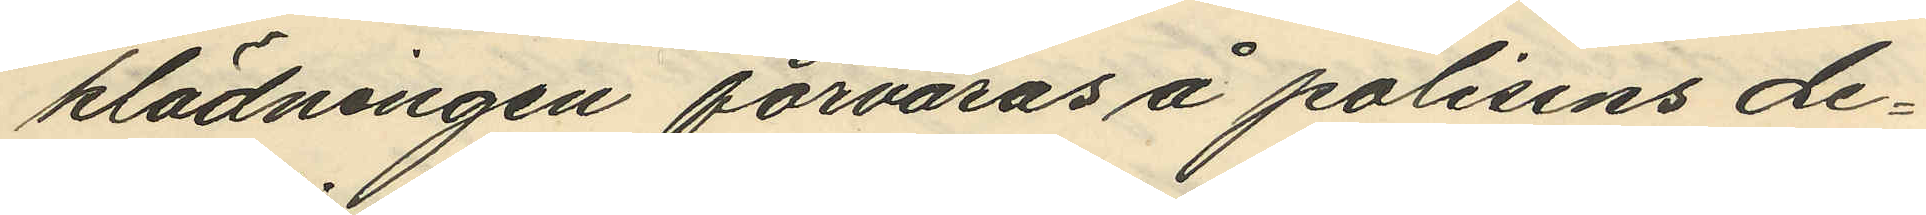klädningen förvaras å polisens de¬
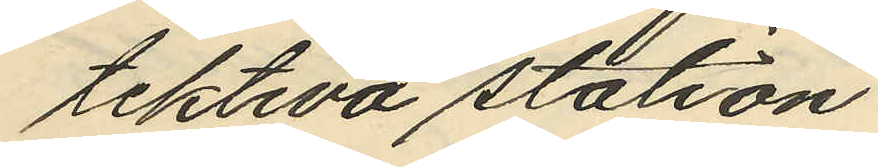tektiva station.
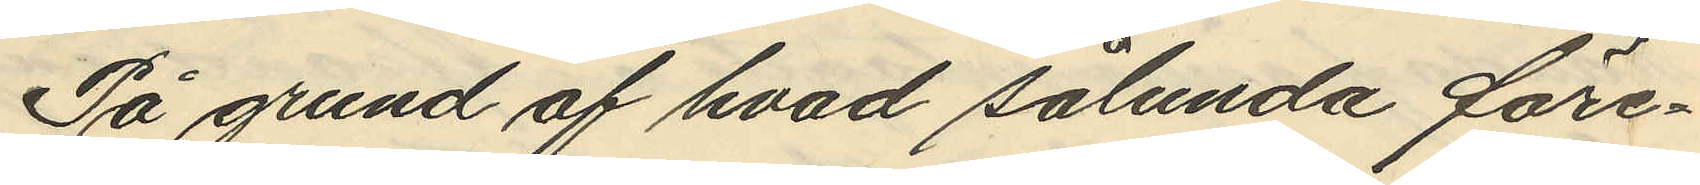På grund af hvad sålunda före¬
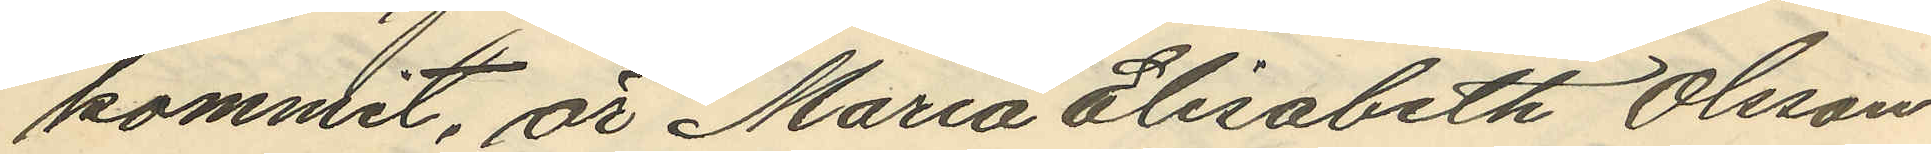kommit, är Maria Elisabeth Olsson
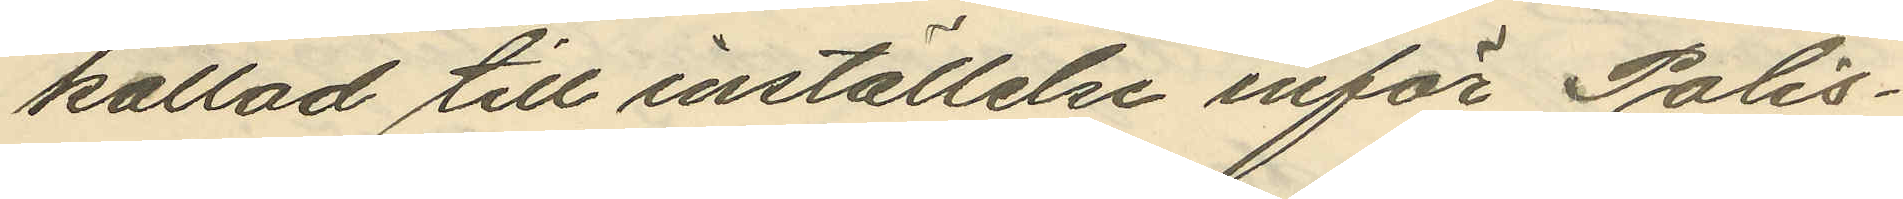kallad till inställelse inför Polis¬
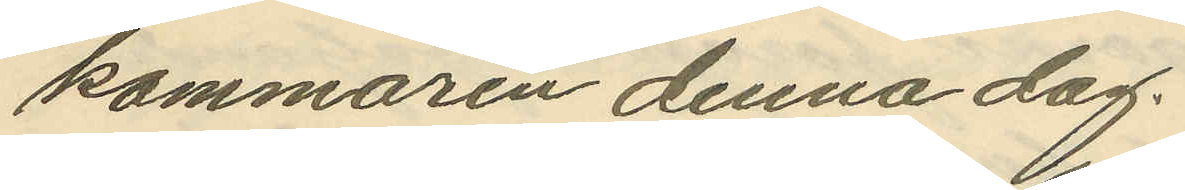kammaren denna dag.
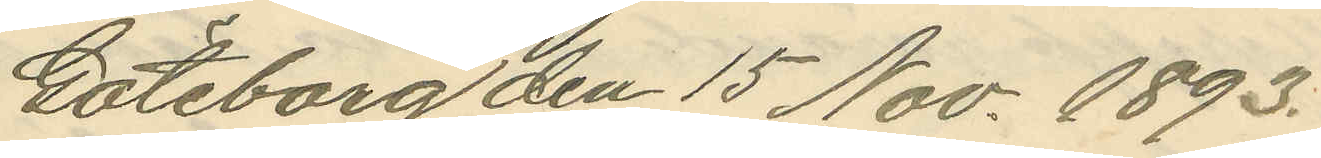Göteborg den 15 Nov. 1893.
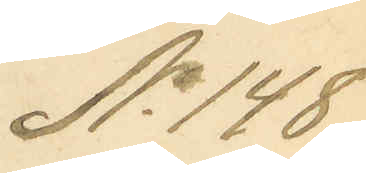No 148.
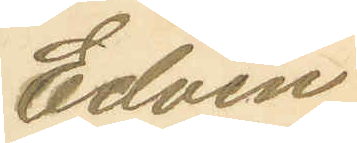Edvin
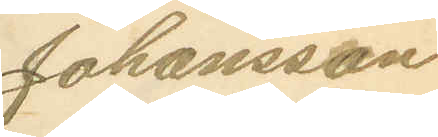Johansson
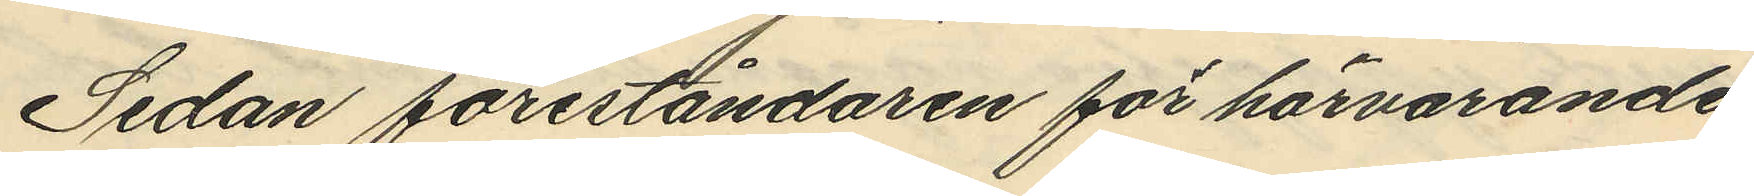Sedan föreståndaren för härvarande
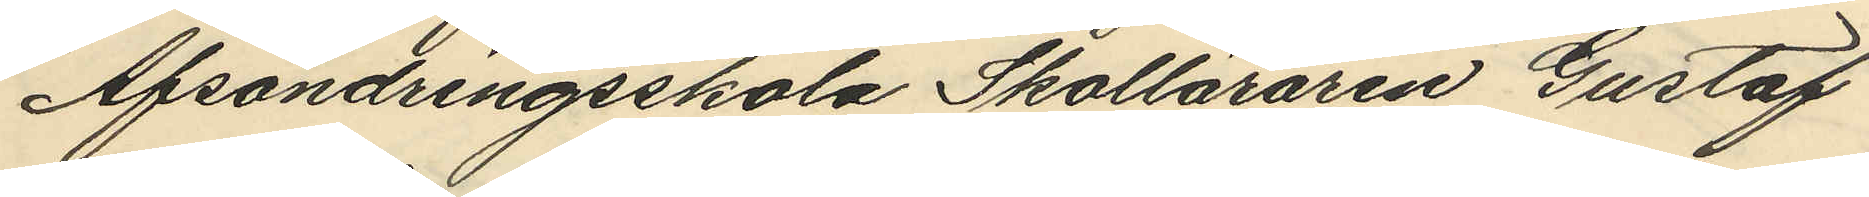Afsöndringsskola Skolläraren Gustaf
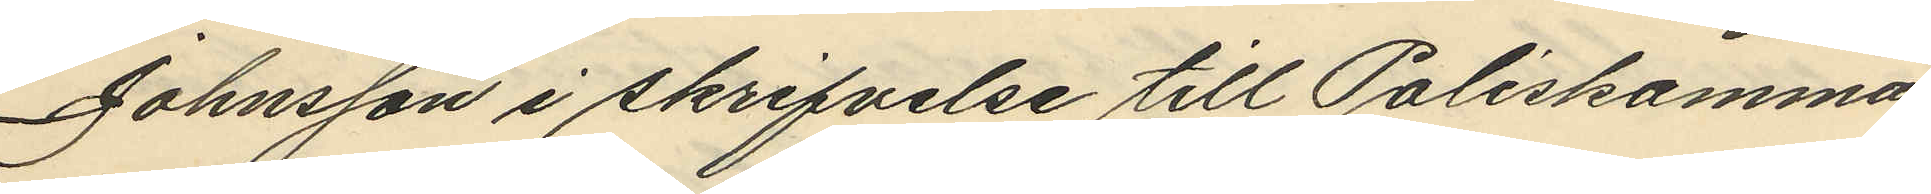Johnsson i skrifvelse till Poliskamma¬
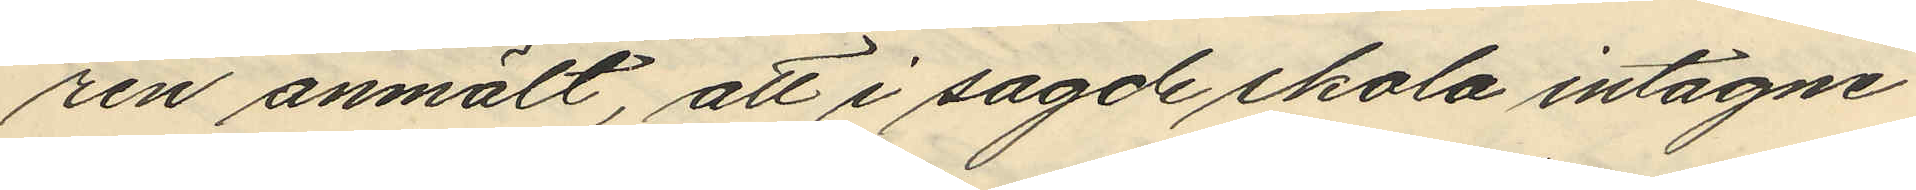ren anmält, att i sagde skola intagne
